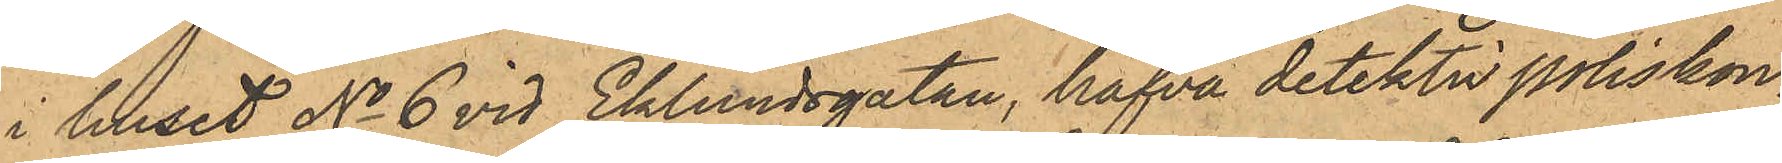i huset No 6 vid Eklundsgatan, hafva detektivpoliskon¬
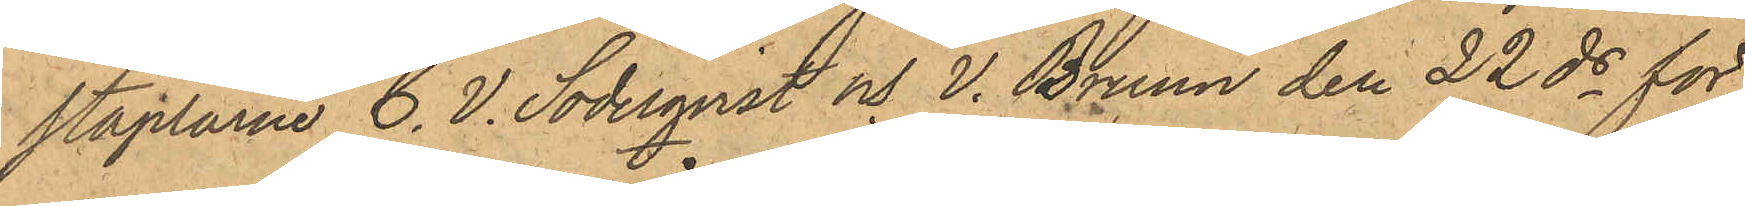staplarne C. V. Söderqvist och V. Bruun den 22 ds för
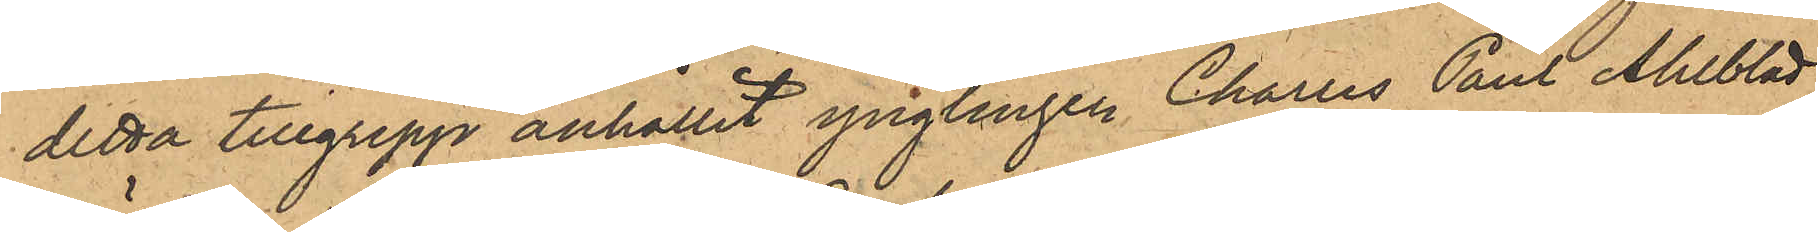detta tillgrepp anhållit ynglingen Charles Paul Ahlblad
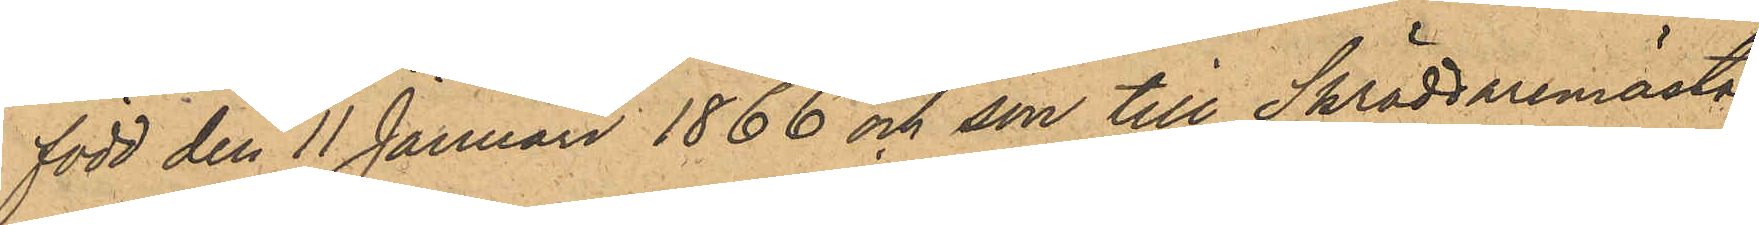född den 11 Januari 1866 och son till Skräddaremästa¬
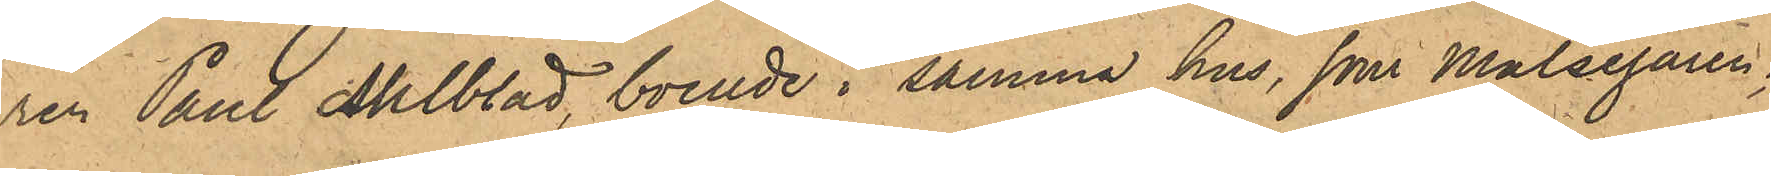ren Paul Ahlblad, boende i samma hus, som Målsegaren;
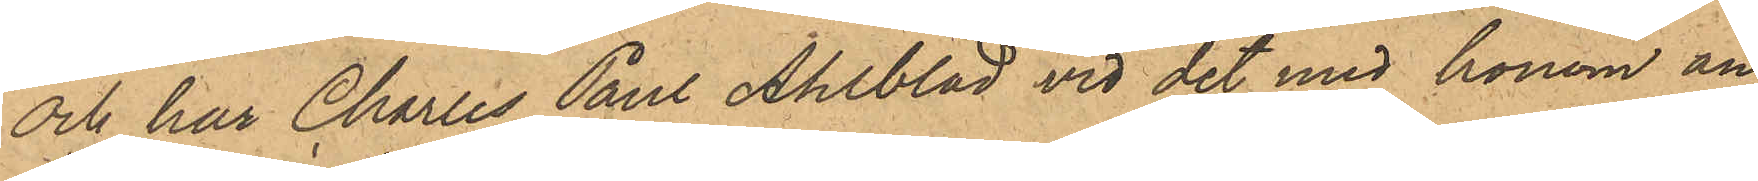och har Charles Paul Ahlblad vid det med honom an¬
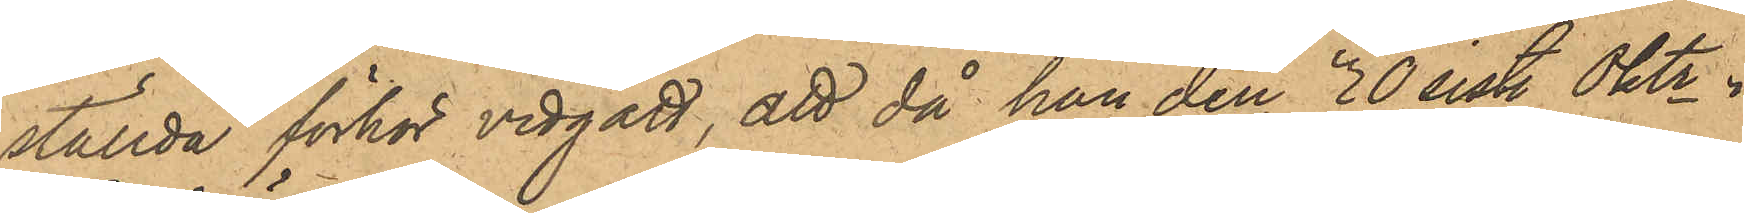ställda förhör vidgått, att då han den 30 sist. Oktr i
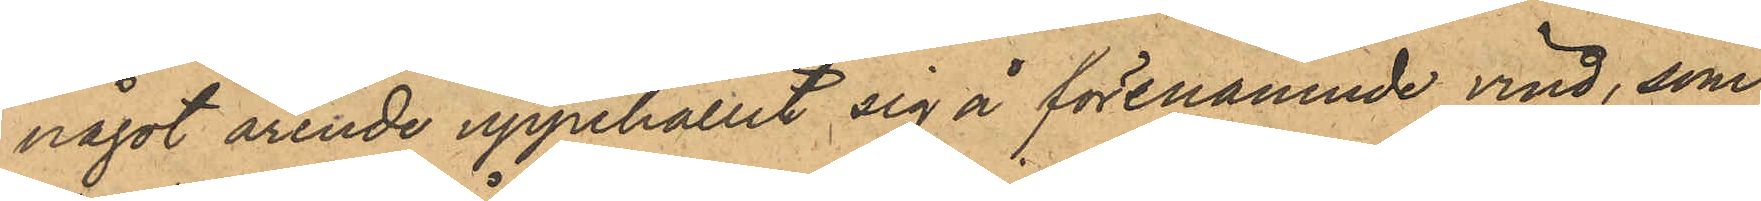något ärende uppehållit sig å förenämnde vind, som
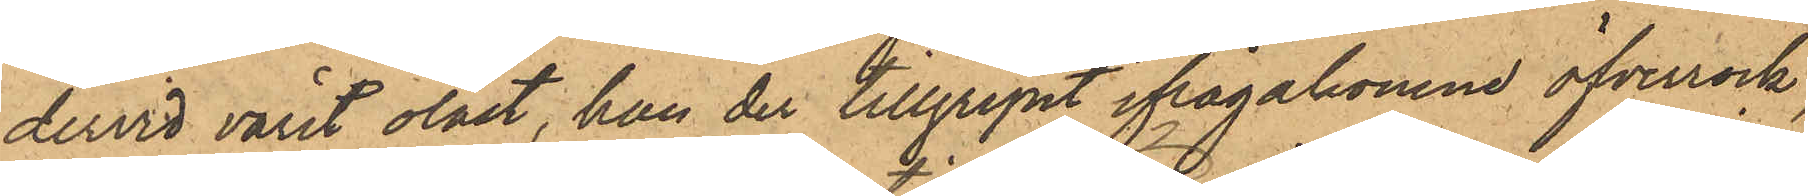dervid varit olåst, han der tillgripit ifrågakomne öfverrock
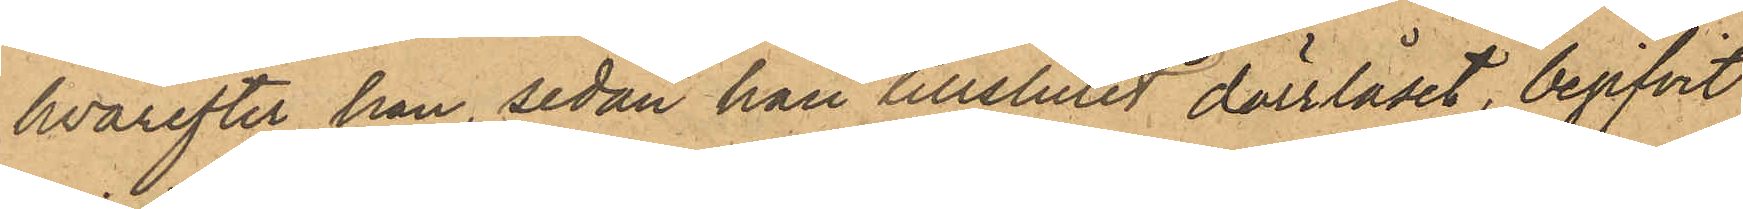hvarefter han, sedan han tillslutit dörrlåset, begifvit
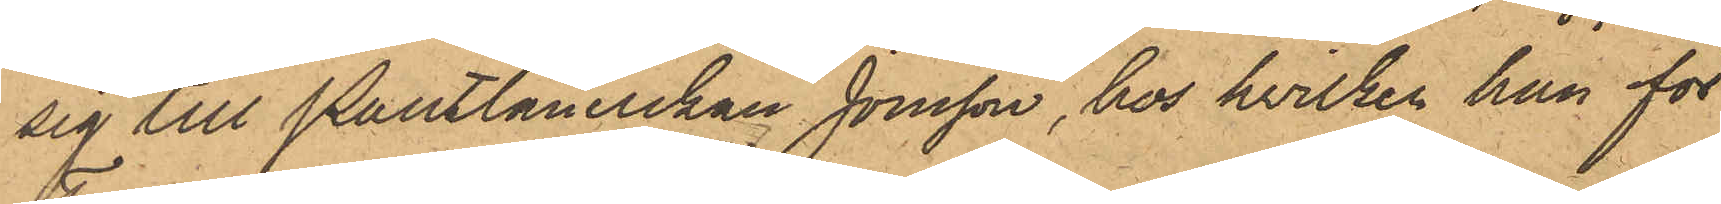sig till Pantlånerskan Jonsson, hos hvilken han för
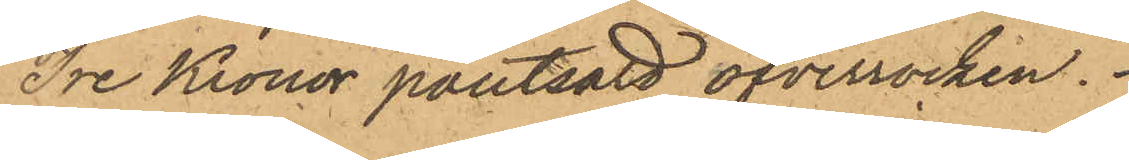Tre Kronor pantsatt öfverrocken.
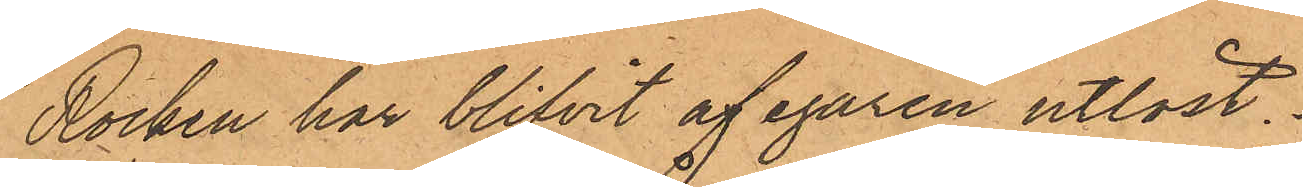Rocken har blifvit af egaren utlöst.
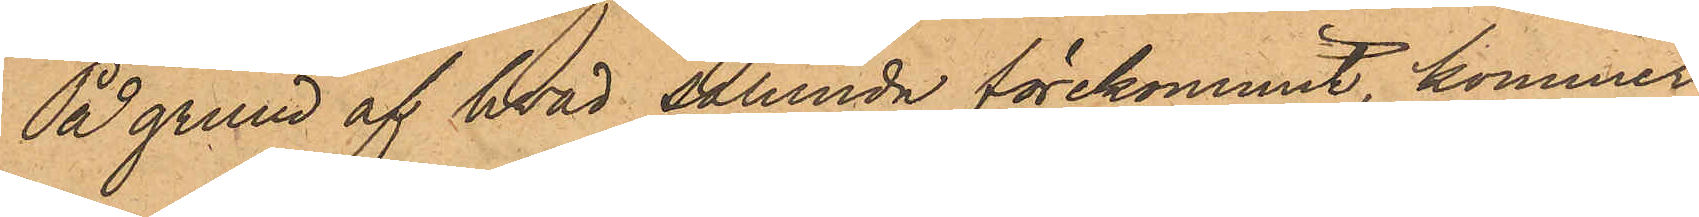På grund af hvad sålunda förekommit, kommer
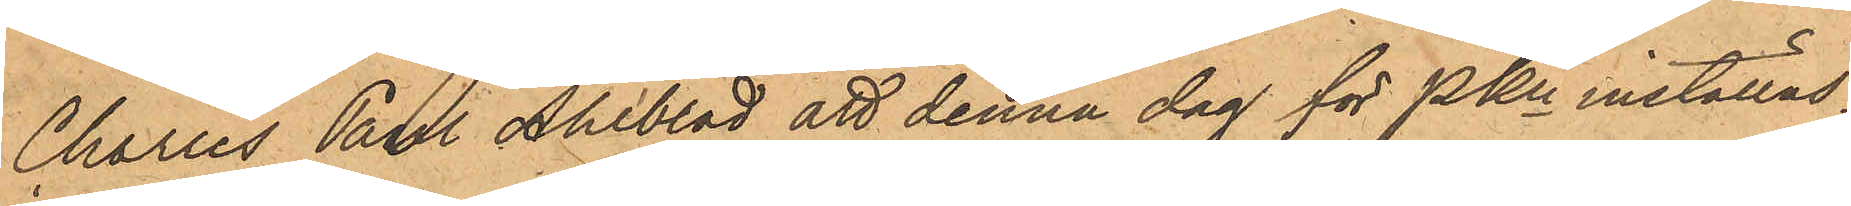Charles Paul Ahlblad att denna dag för PKn inställas.
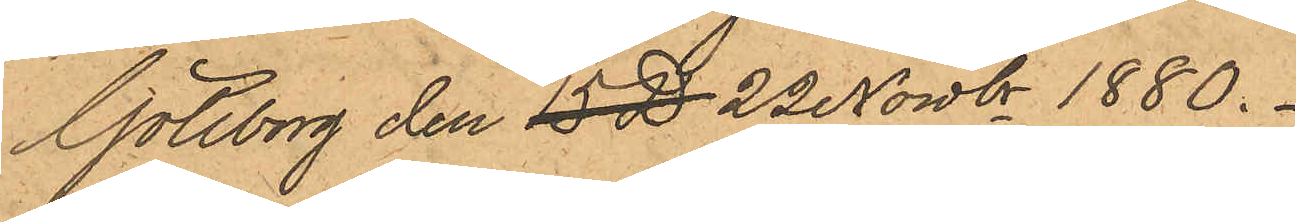Göteborg den 15 D 22 Nowbr 1880.
